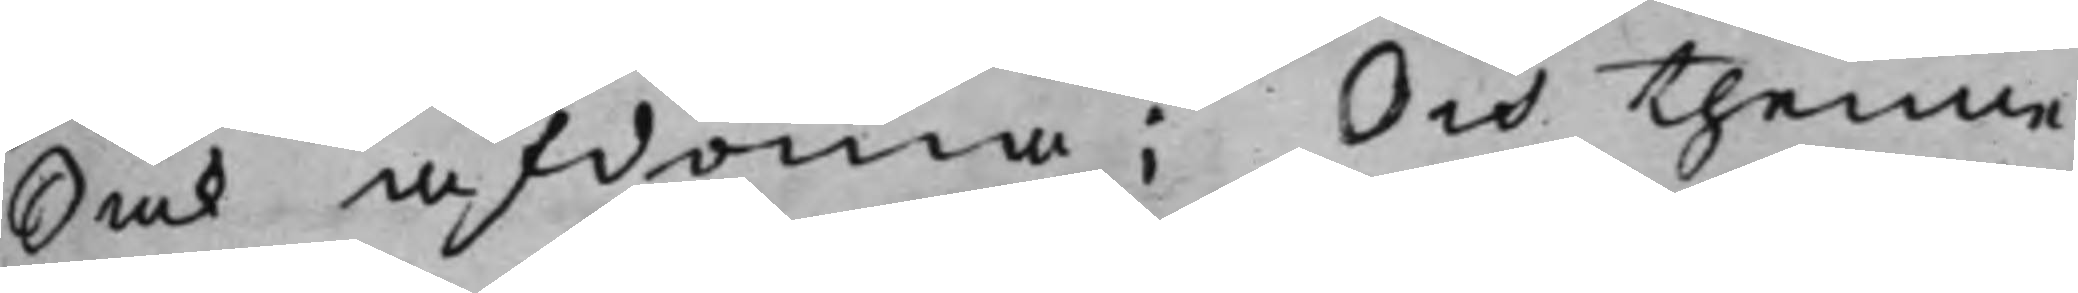Sak afdöma; Och thenne
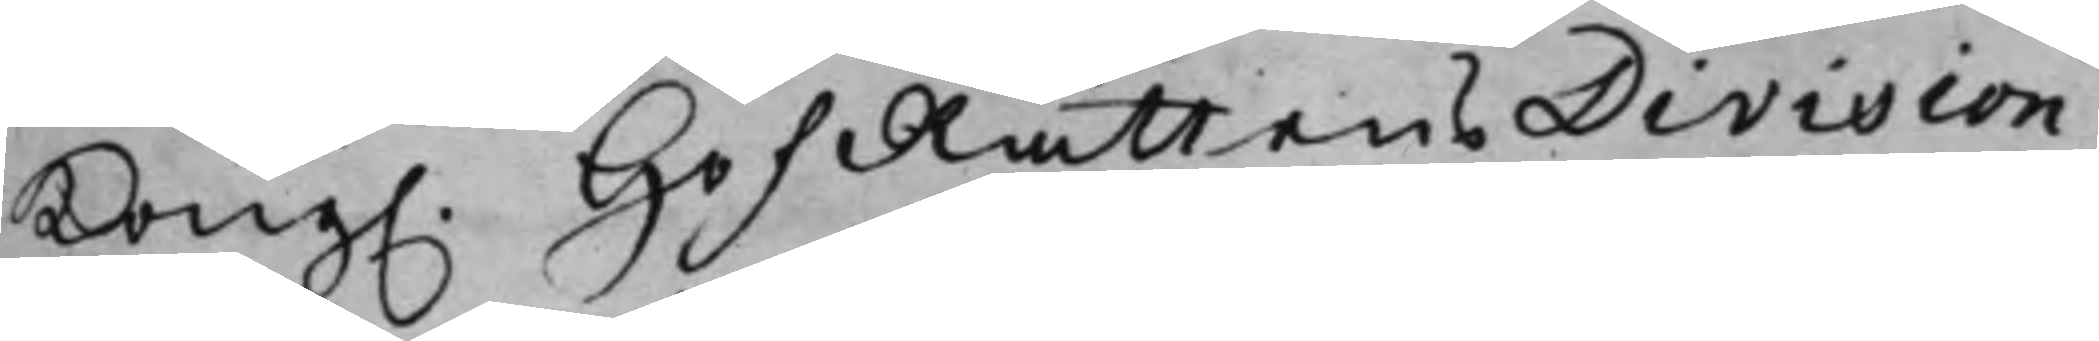Kong. HofRättens Division 
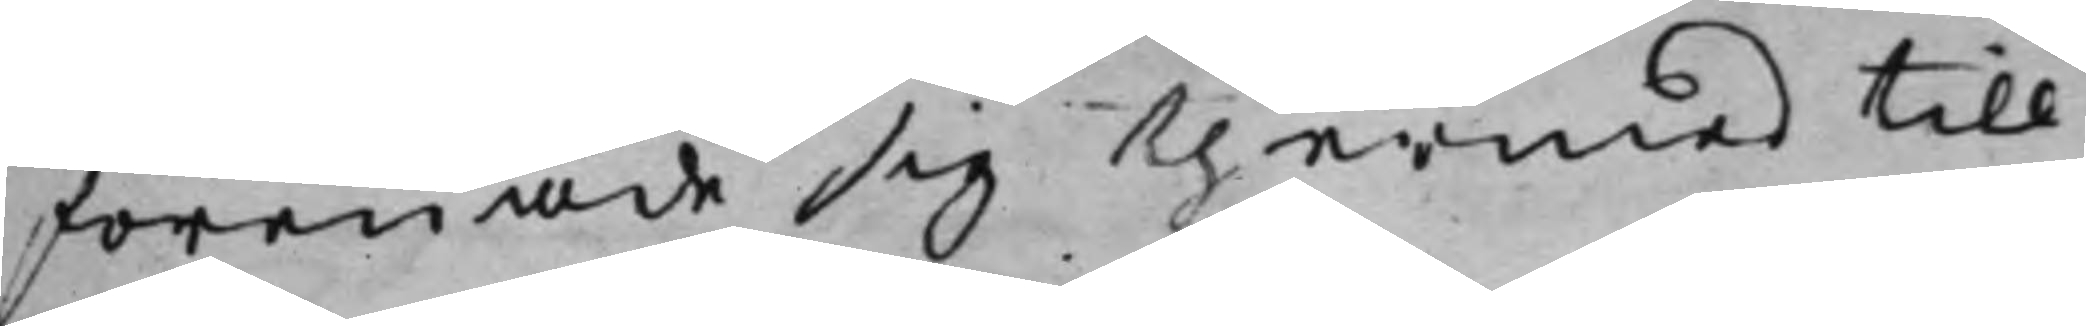förenade sig thermed till
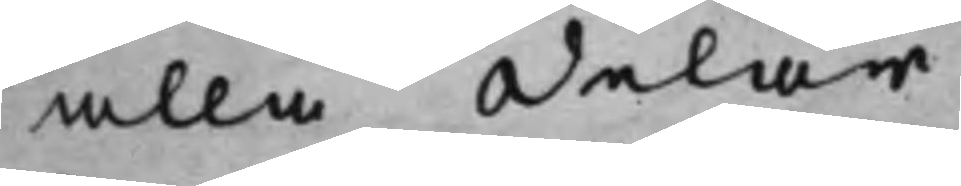alla delar.
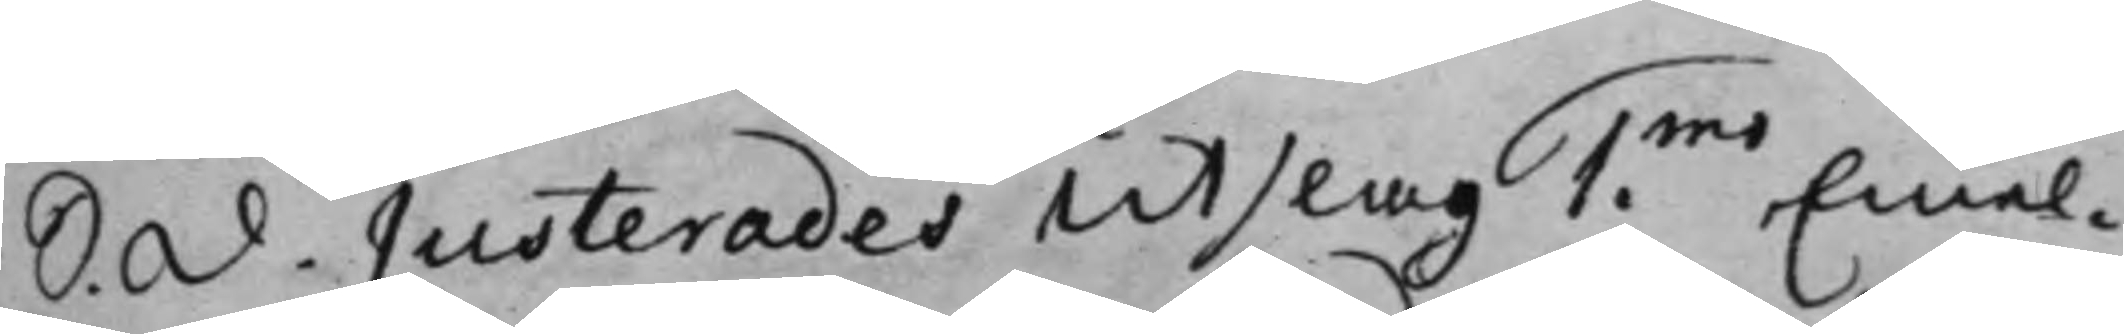S. d. Justerades Utslag 1mo Emel¬ 
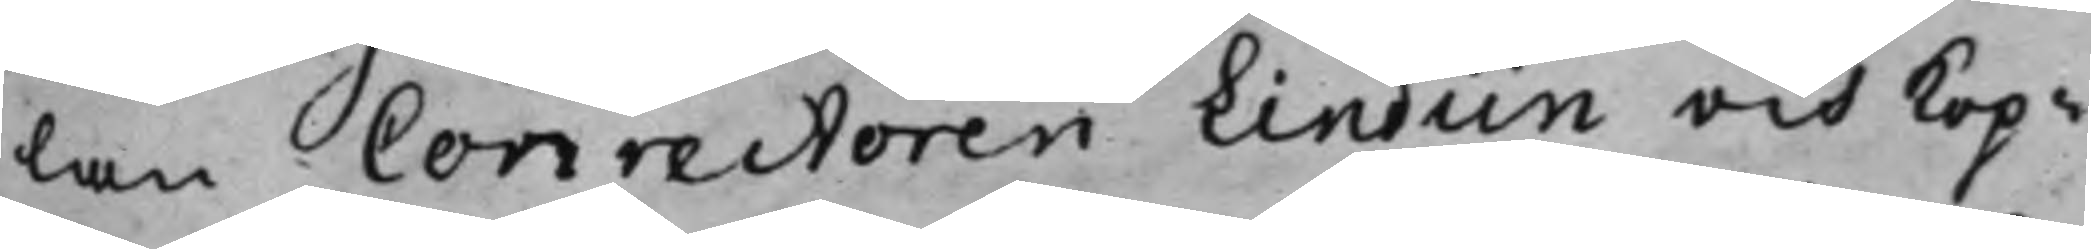lan Conrectoren Lindiin och kop¬
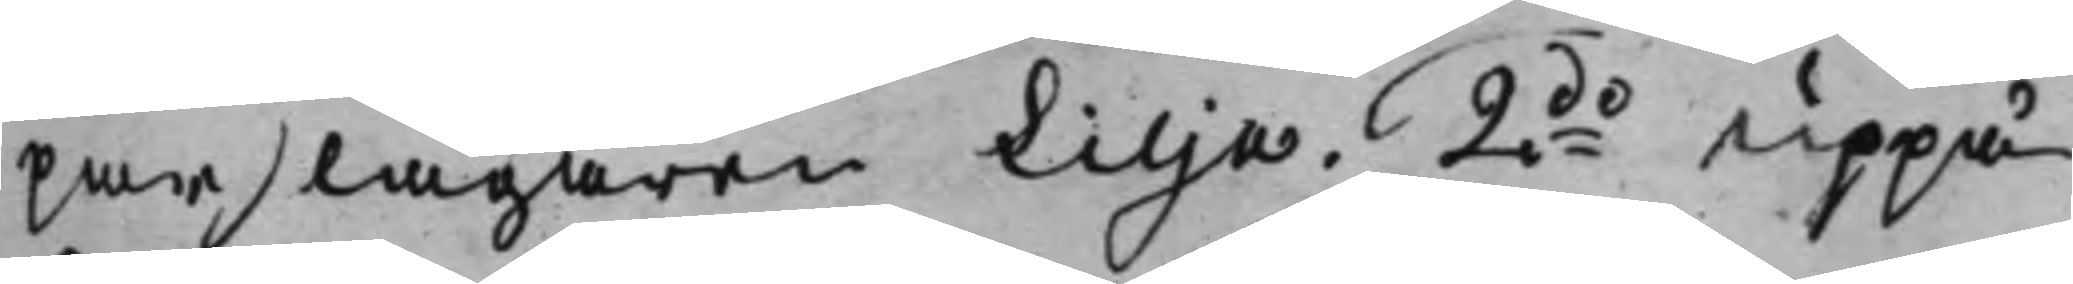parslagaren Lilja. 2do Uppå 
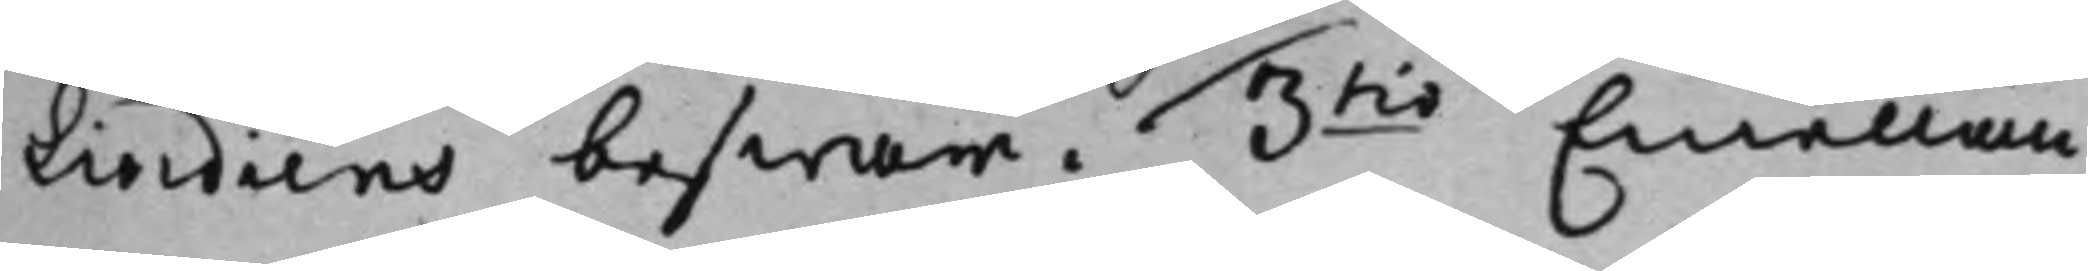Lindiins beswär. 3tio Emellan 
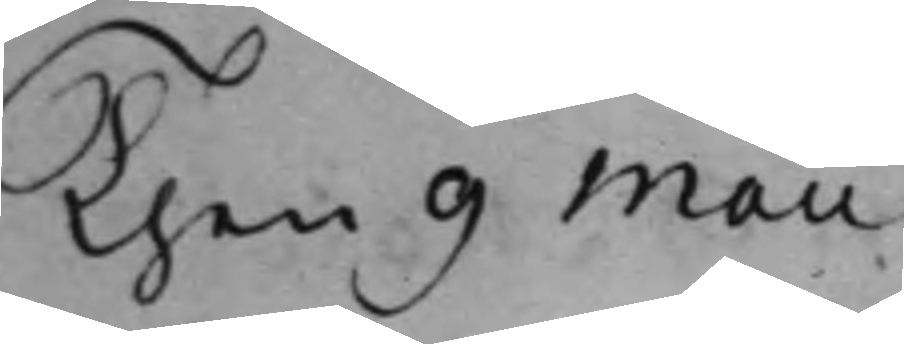Then 9 Maii
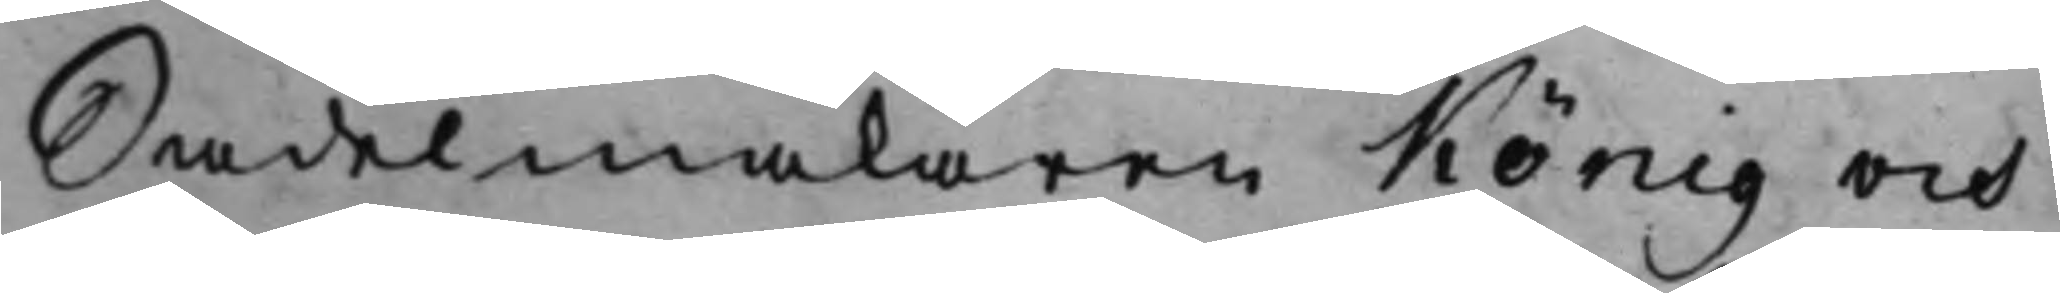Sadelmakaren König och
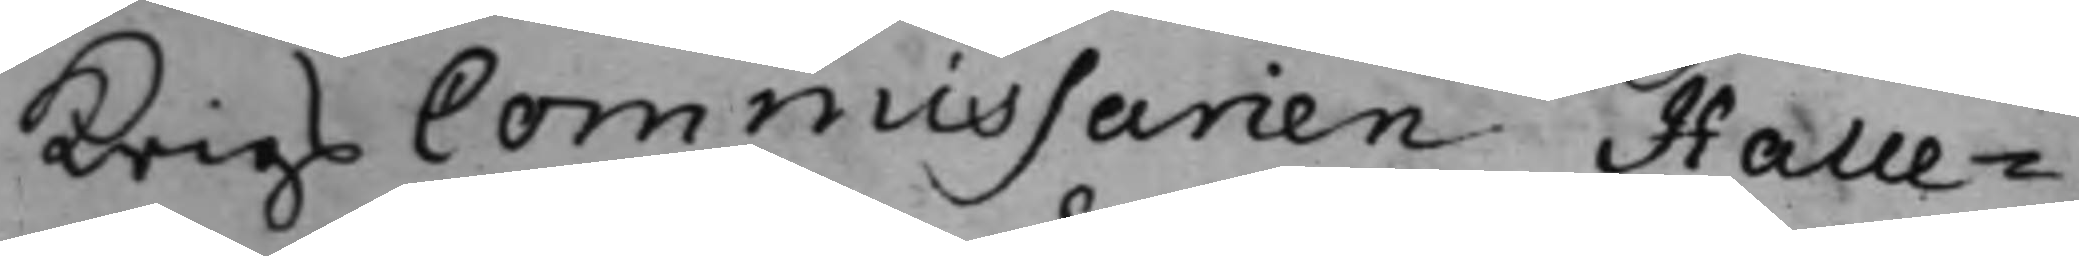Krigs Commissarien Halle¬
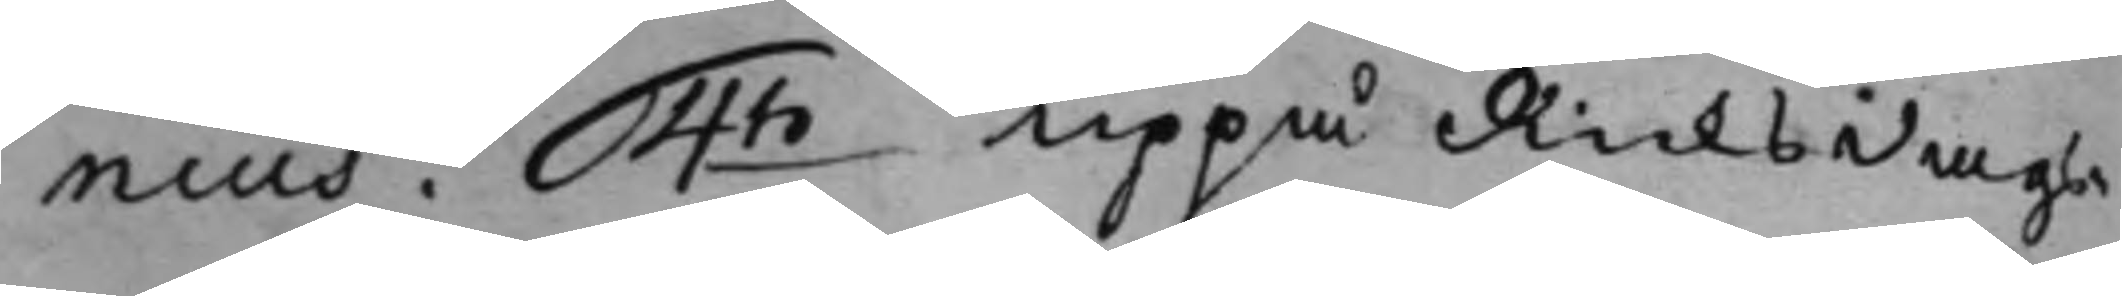nius. 4to Uppå Ricksdags¬ 
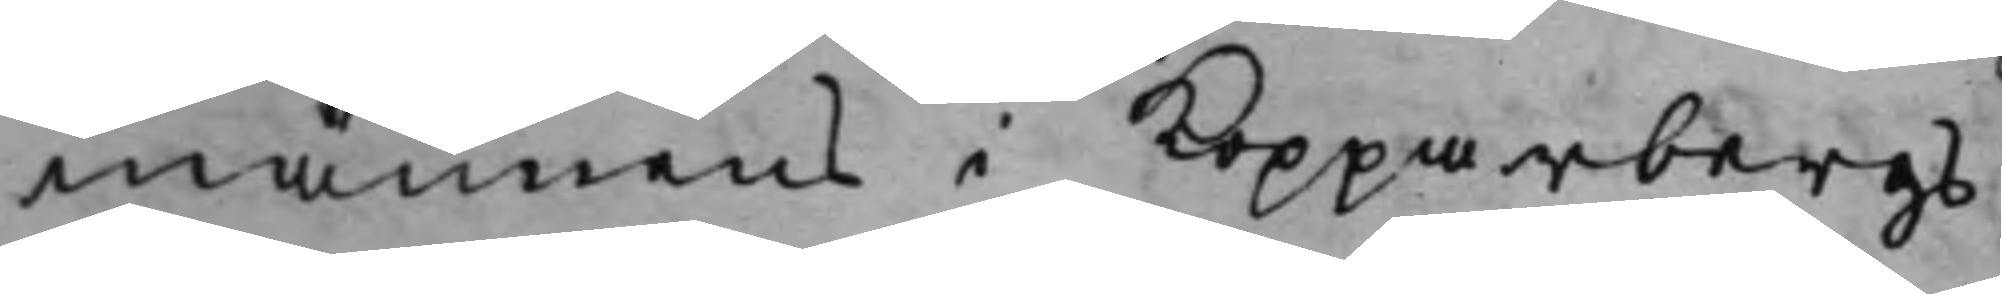männens i Kopparbergs
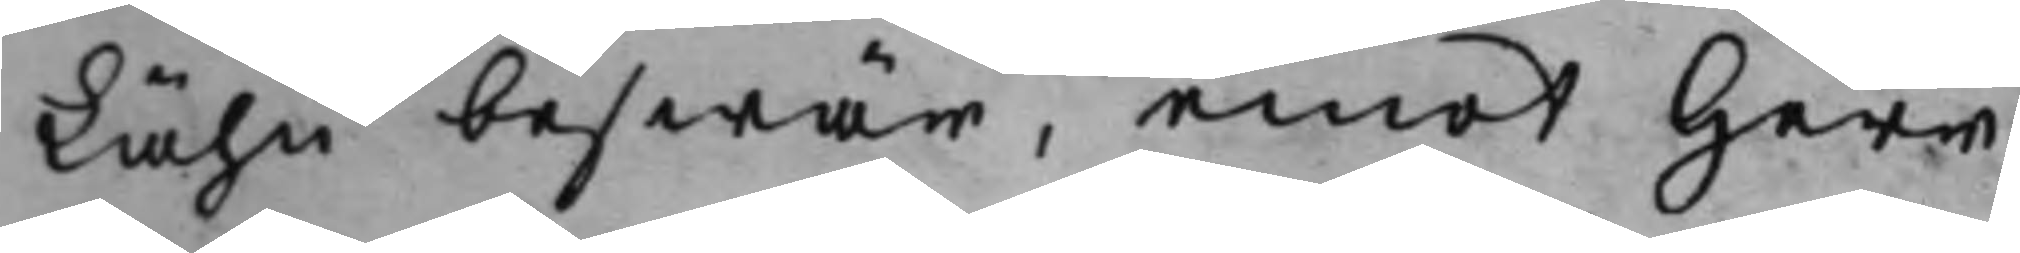Lähn beswär, emot Herr
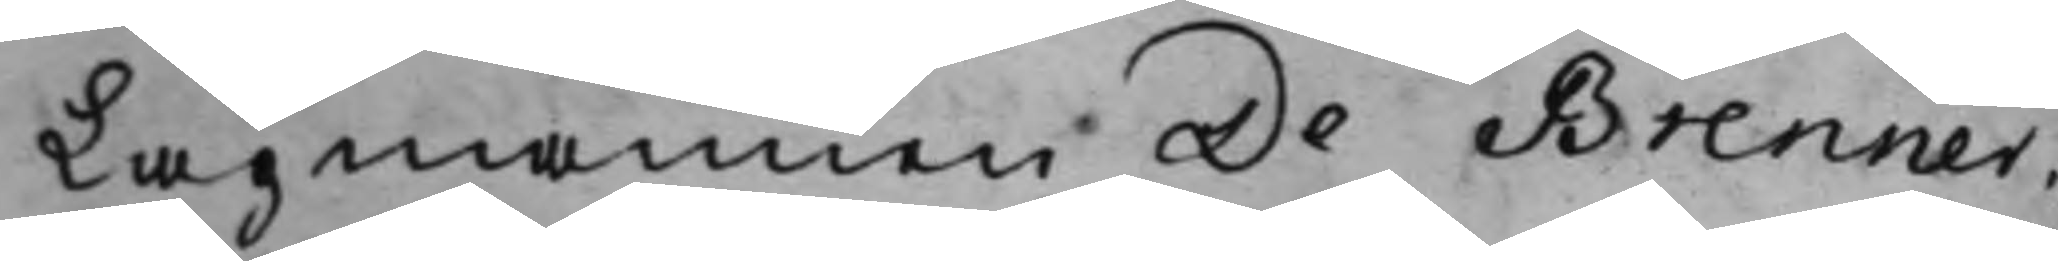Lagmannen De Brenner.
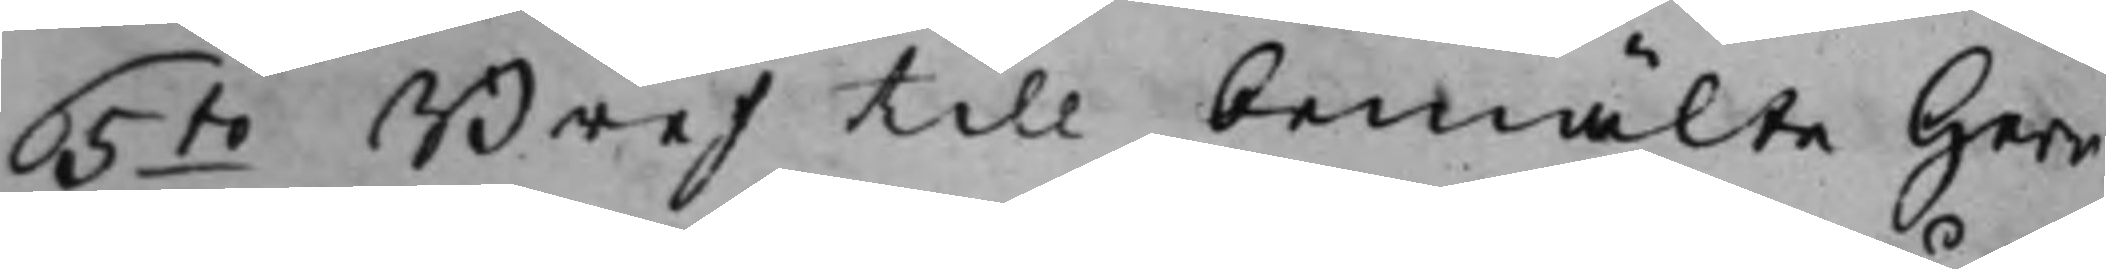5to Bref till bemälte Herr 
